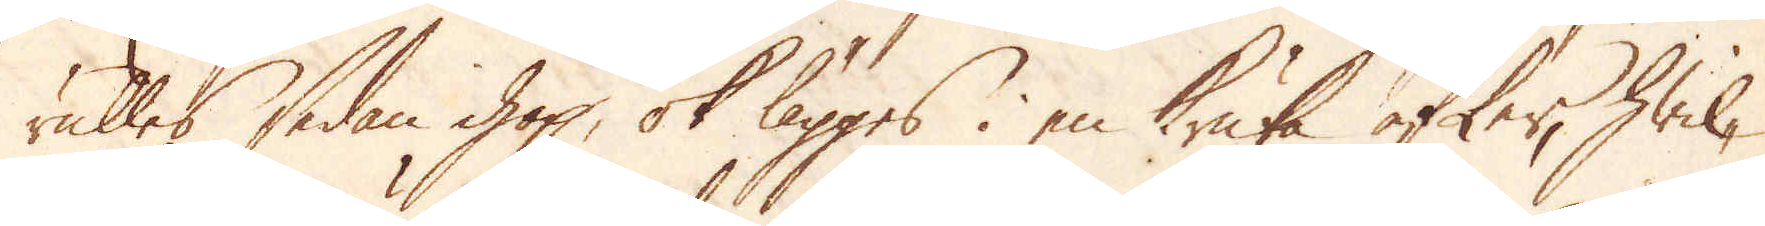rulles sedan hopp, ok lägges i en kruka efter, hwil-
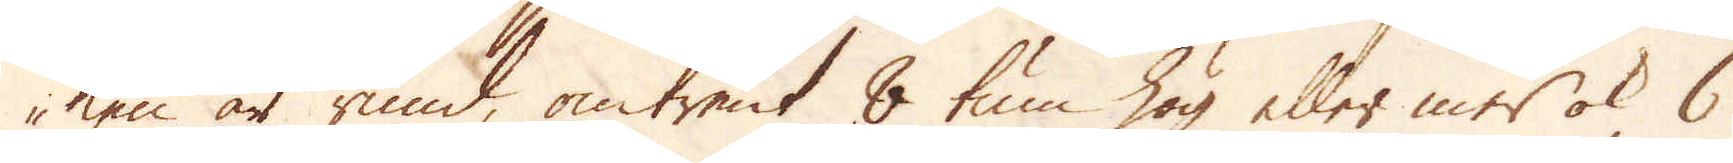ken är rund, omtrent 8 tum hög eller mer ok 6
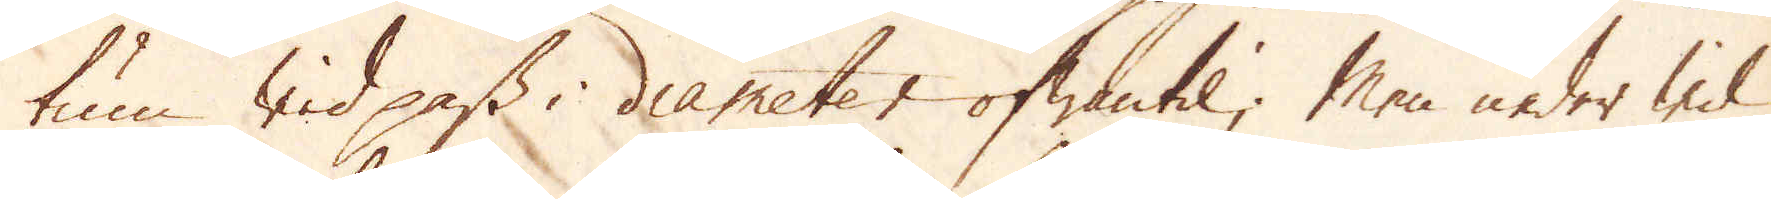tum wid pass i diameter ofwantil; Men neder wid
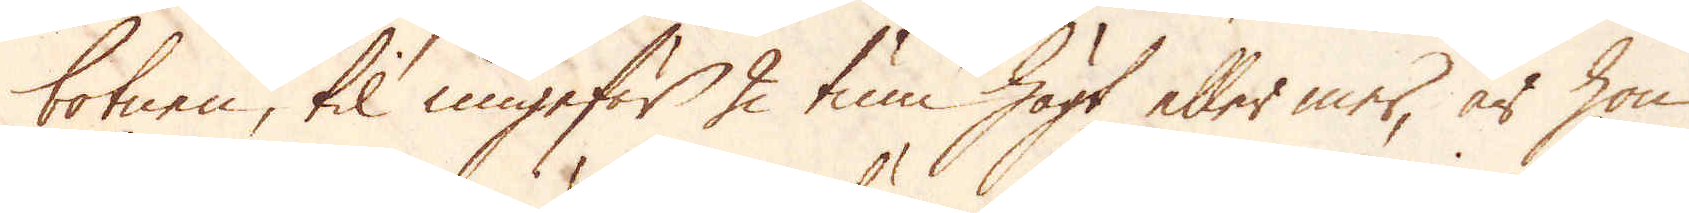botnen, til ungefär 2 tum högt eller mer, är hon
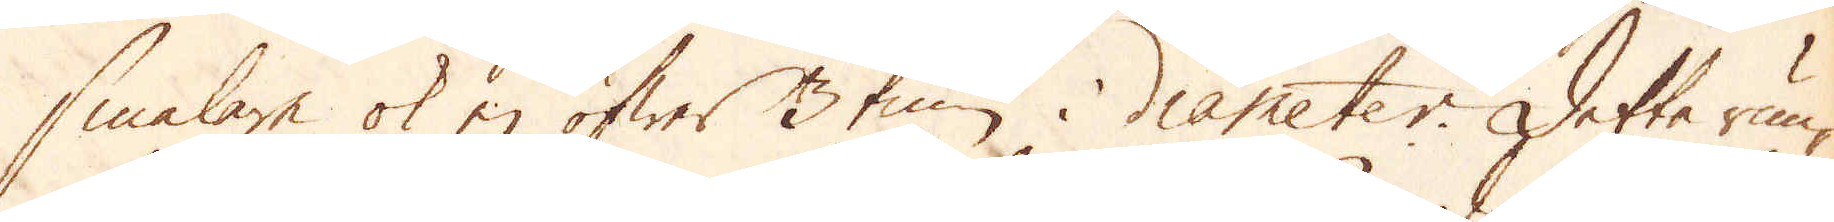smalare ok ej öfwer 3 tum i diameter. Detta run-
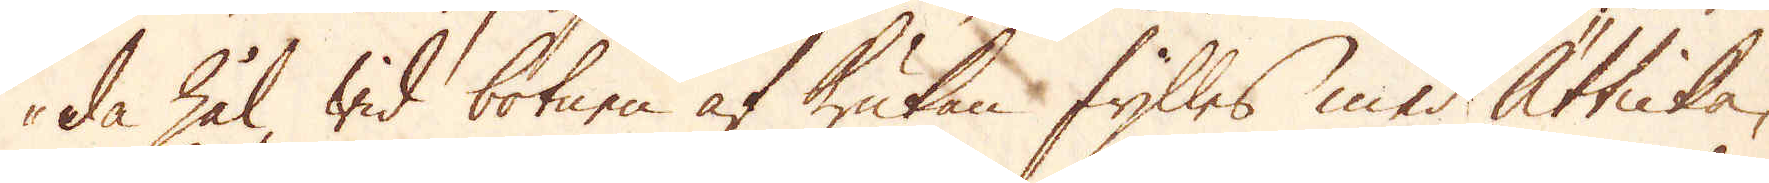da hål wid botnen af krukan fylles med Ätticka,
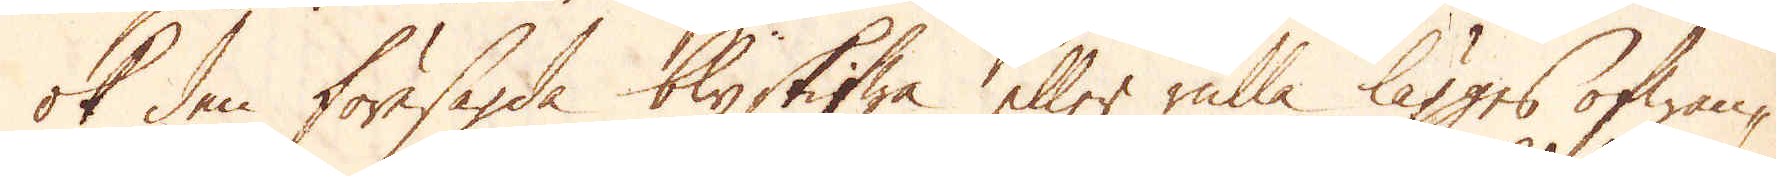ok den föresagda blyskifwa eller rulla lägges ofwan-
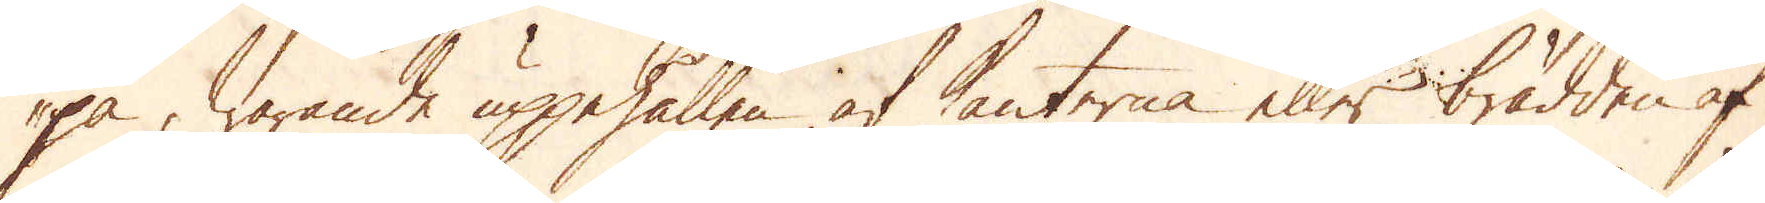på, warande uppehållen af kanterna eller bredden af
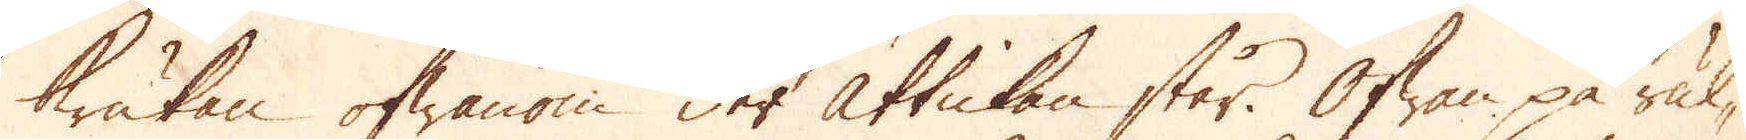brukan ofwanom der ättickan står. Ofwan på rul-
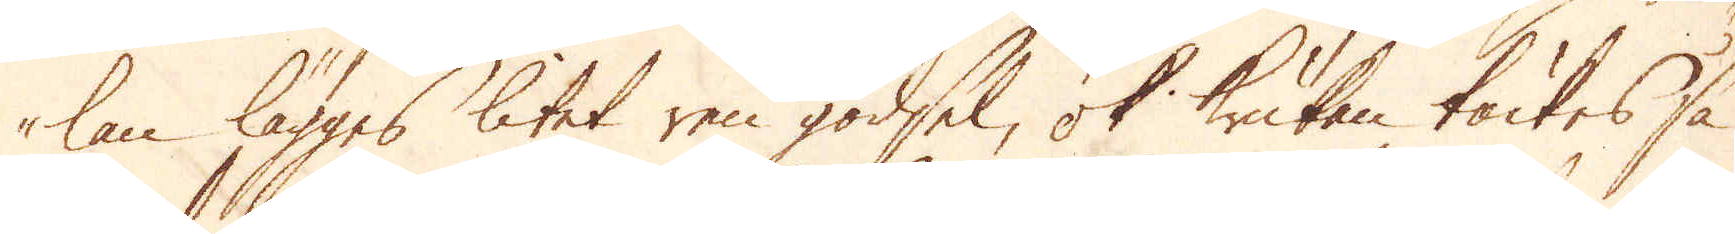lan lägges litet ren gödsel, ok krukan täckes så
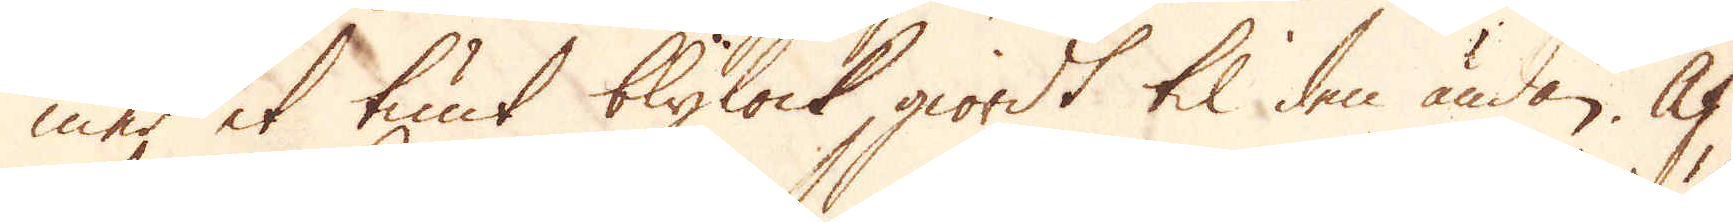med et tunt blylock, giordt til den ändan. Af
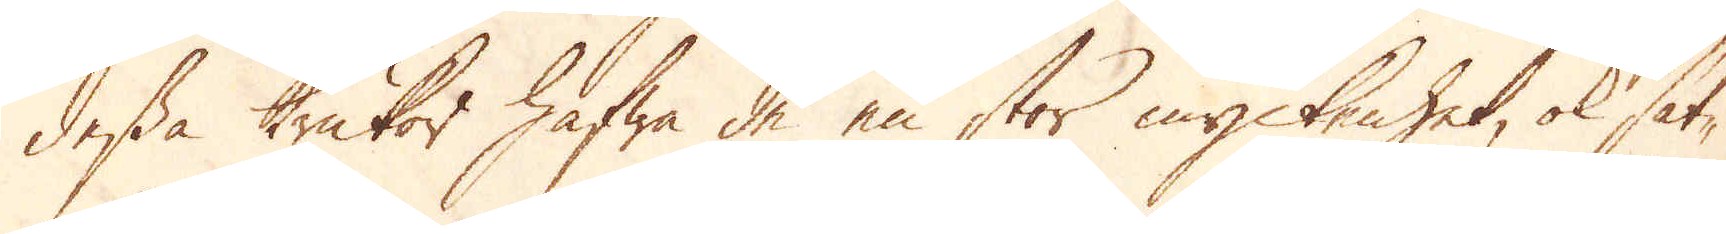dessa krukor hafwa de en stor myckenhet, ok sät-
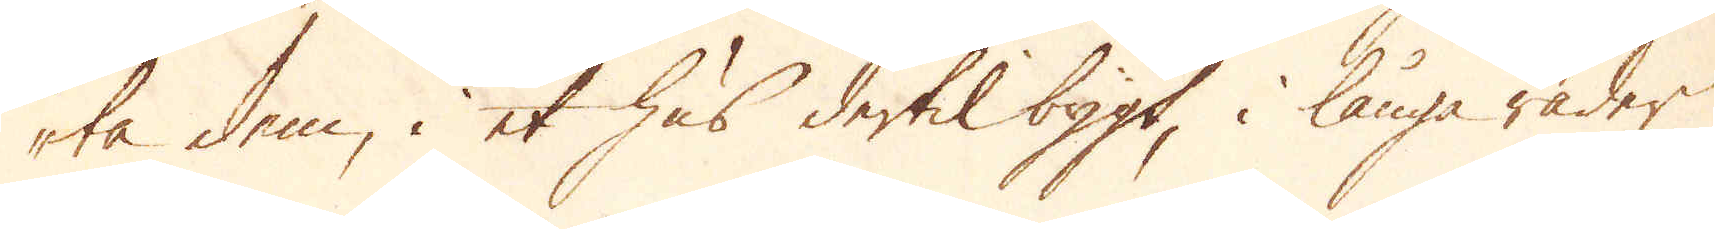ta dem, i et hus dertil bygt, i långa rader
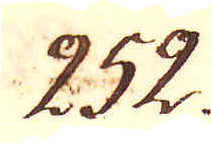252.
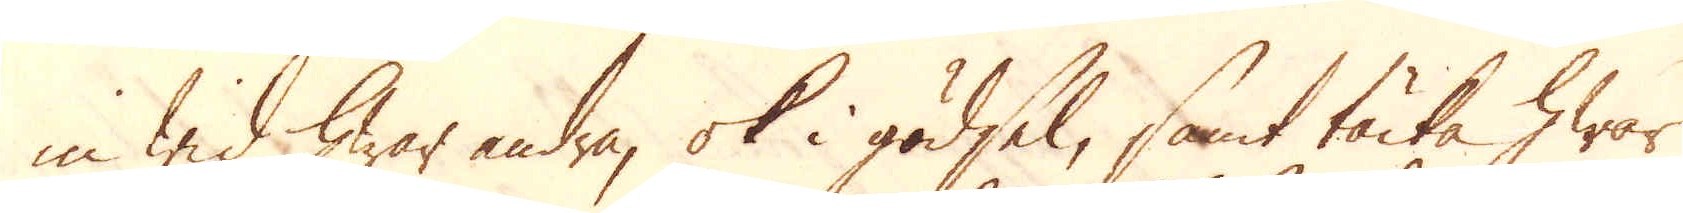in wid hwar andra, ok i gödsel, samt täcka hwar
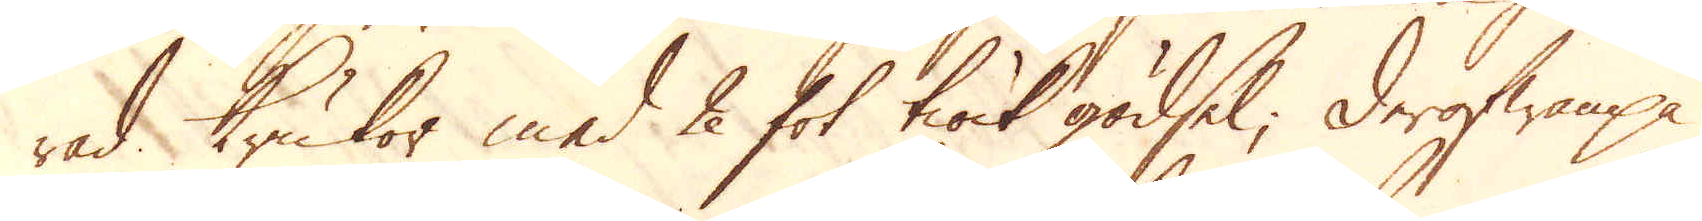rad Krukor med 2 fot tiock gödsel. Derofwanpå
